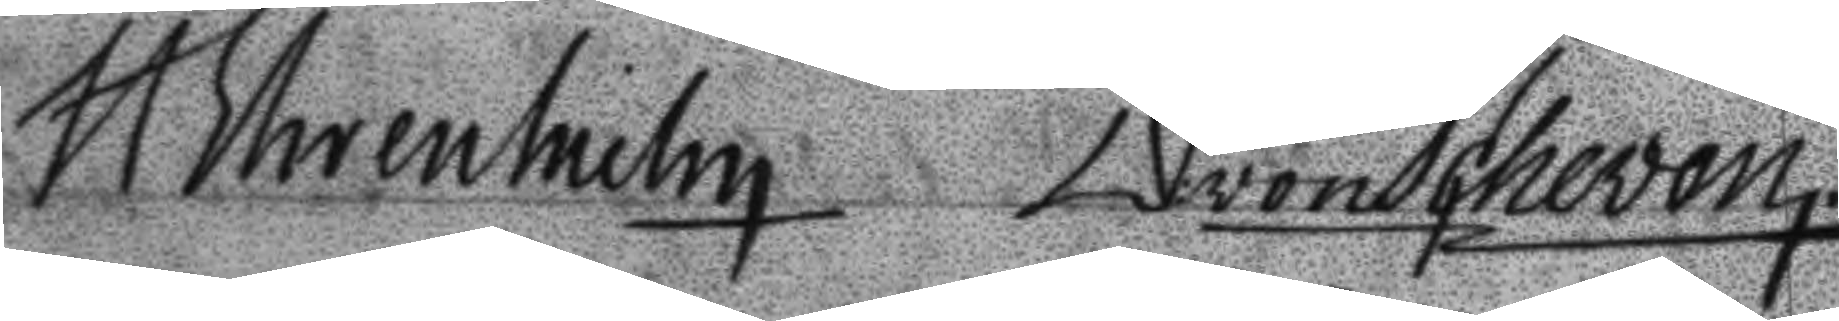H Ehrenhielm D: von Scheven.
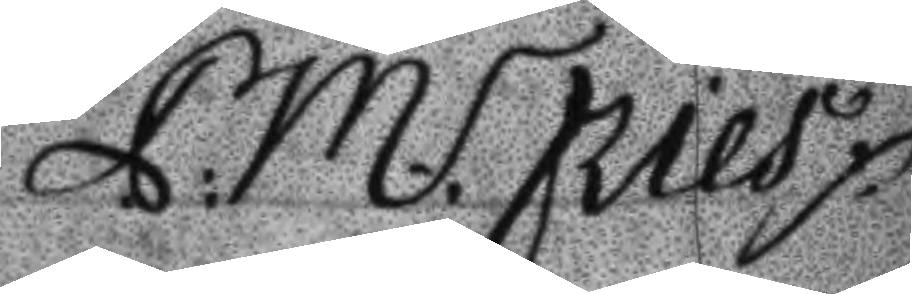P: M: Fries
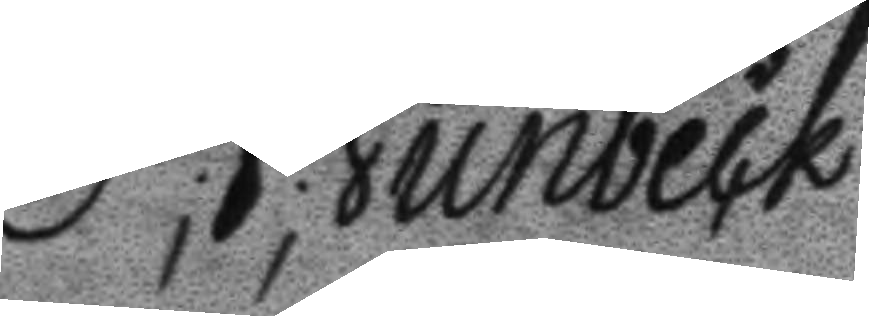P; J; Junbeck
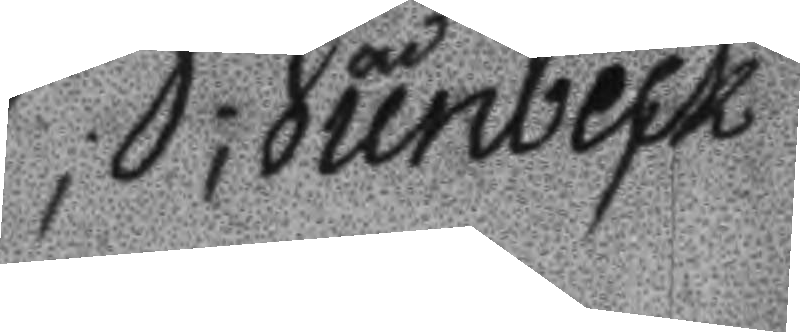P; J; Junbeck
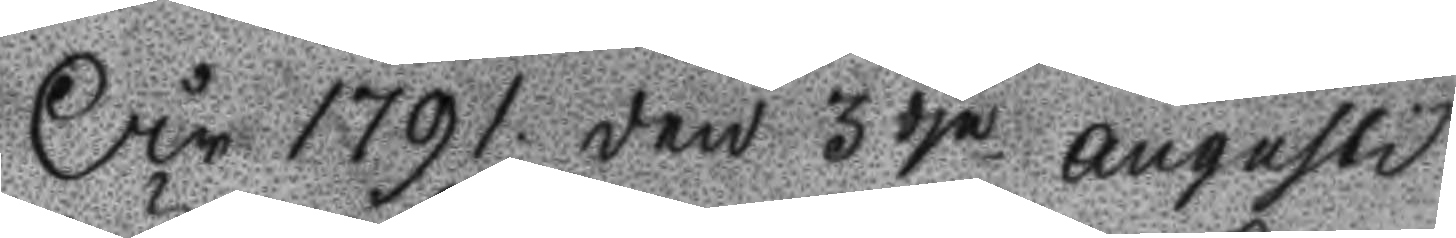År 1791 den 3dje Augusti
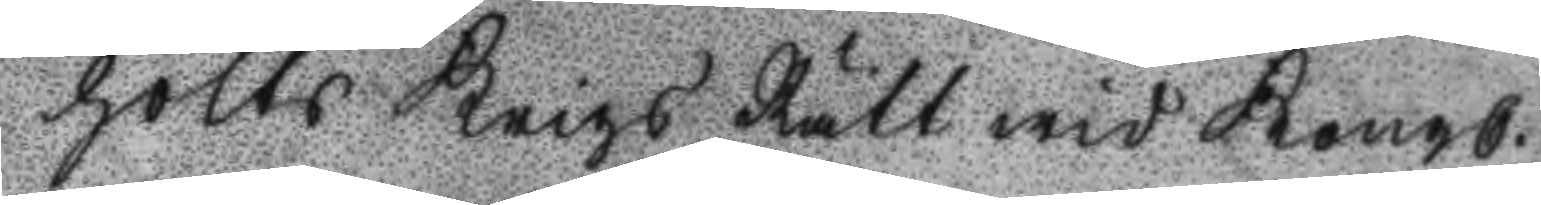hölts Krigs Rätt wid Kongl.
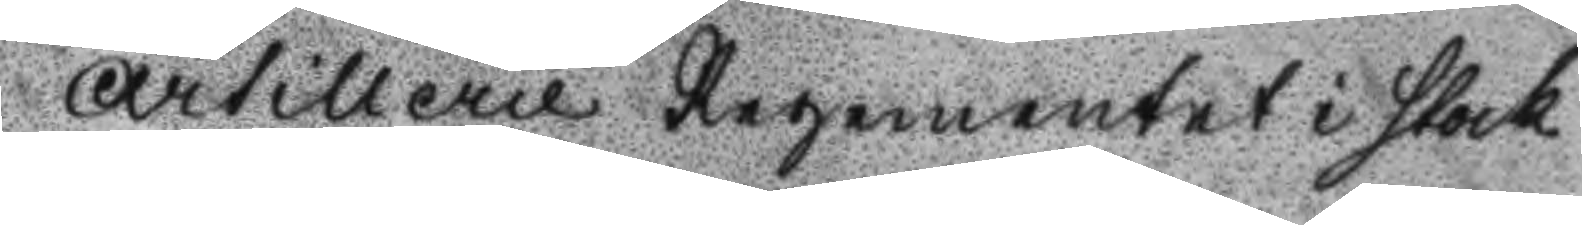Artillerie regementet i Stock
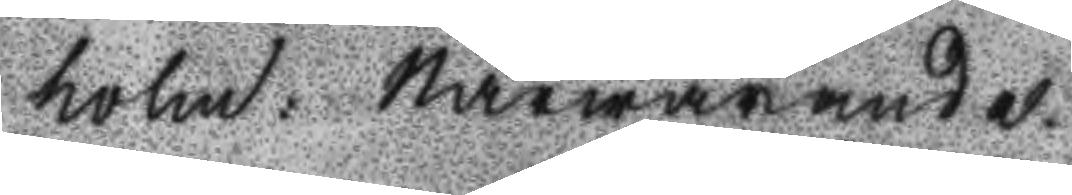holm: Närwarande
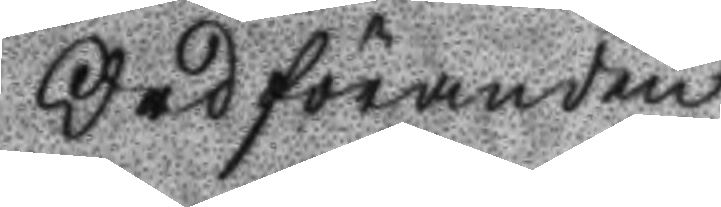Ordföranden
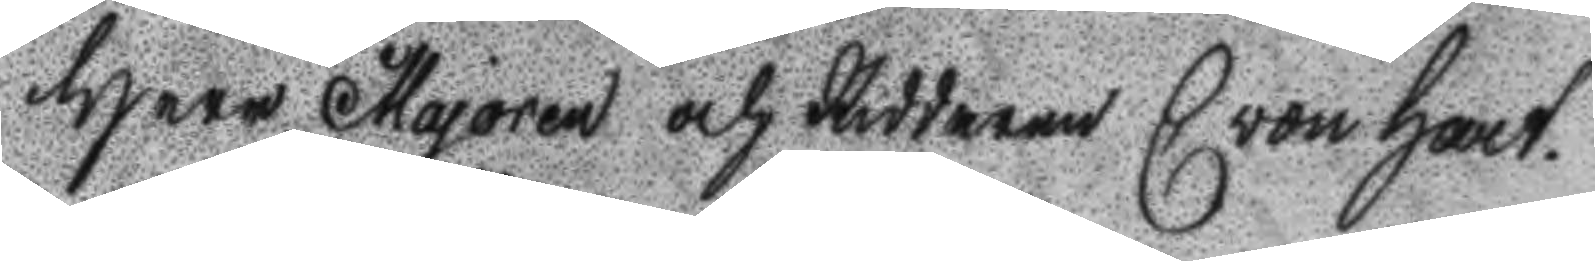Herr Majoren och Riddaren C von Hart¬
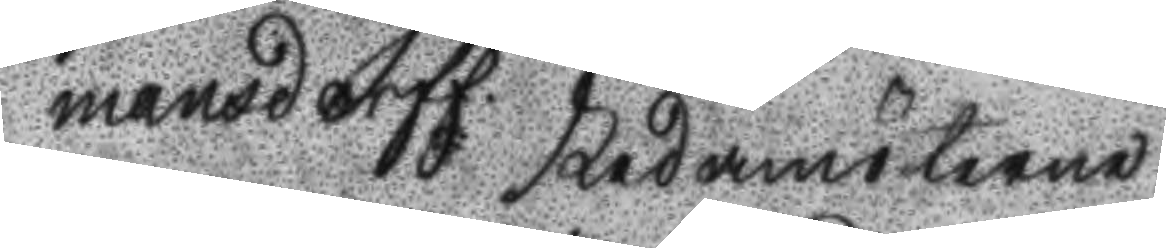mansdorff. Ledamöterne
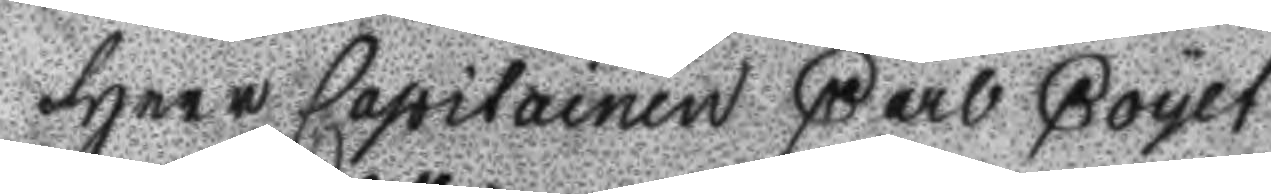Herr capitainen Carl Coyet
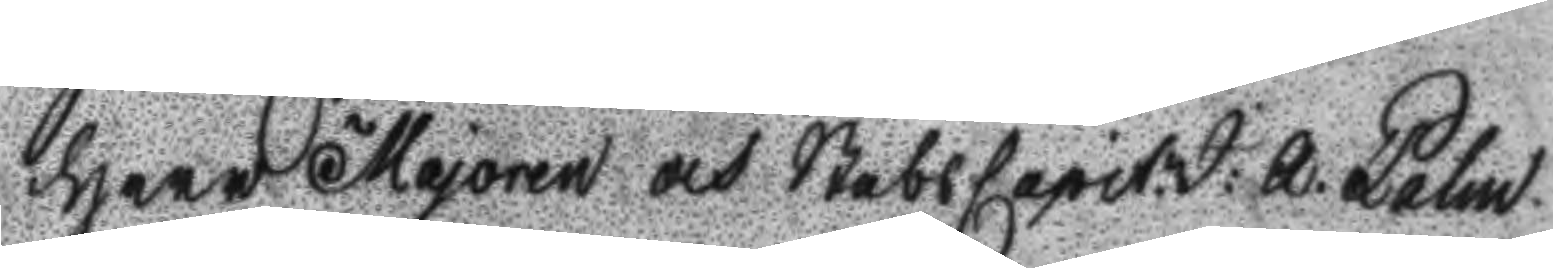Herr Majoren och StabsCapit: J: A: Palm
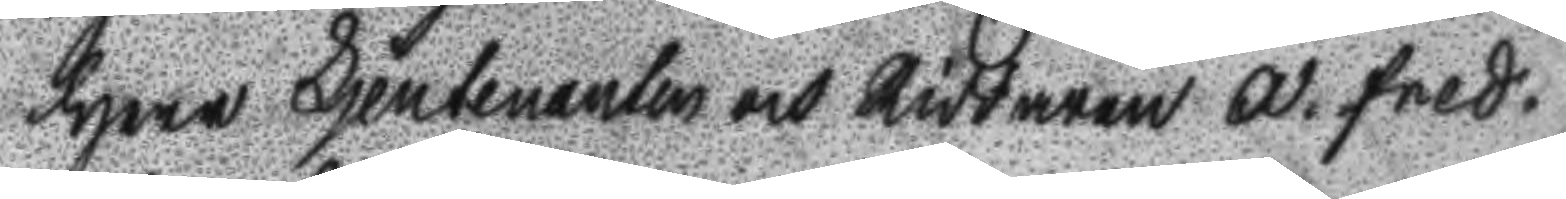Herr Ljeutenanten och Riddaren A. Fred.
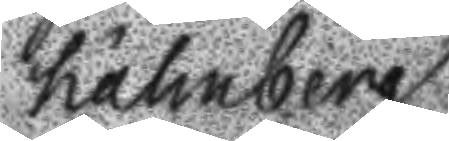Hähnberg.
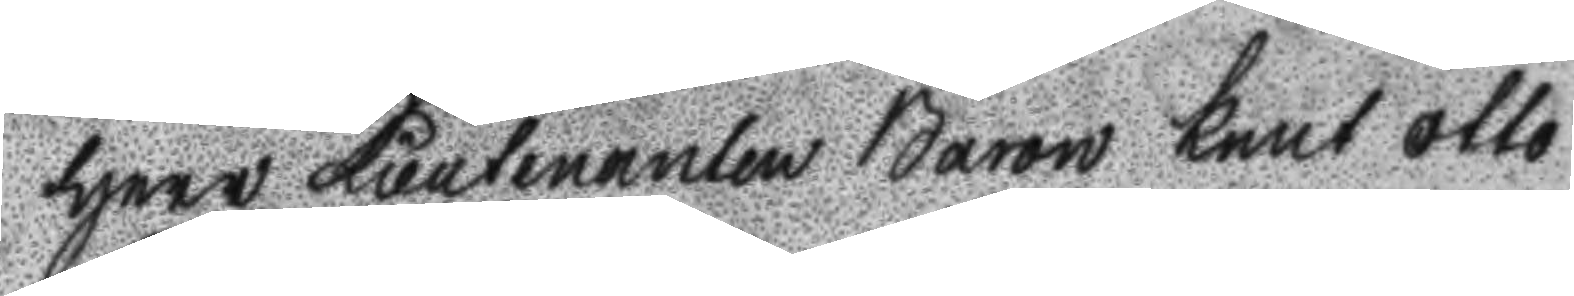Herr Lieutenanten Baron Knut Otto
